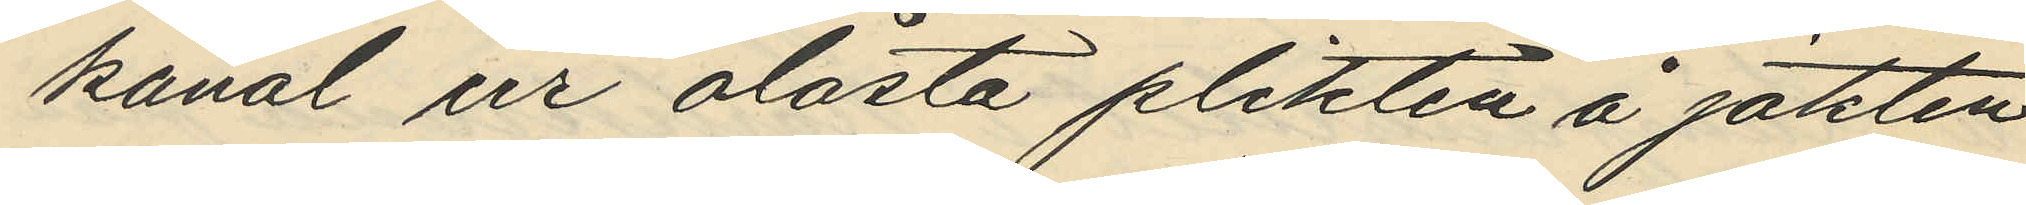kanal ur olåsta plikten å jakten
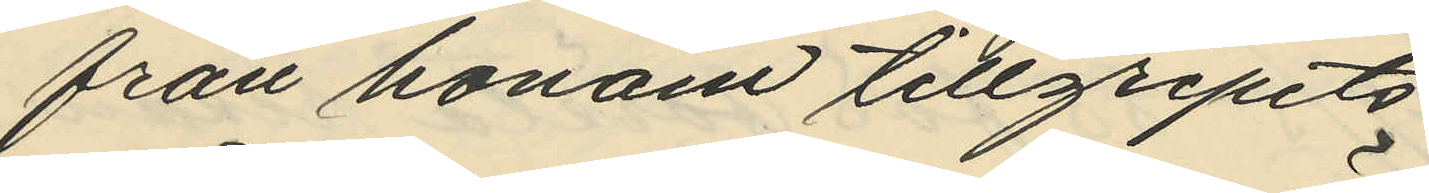från honom tillgripits
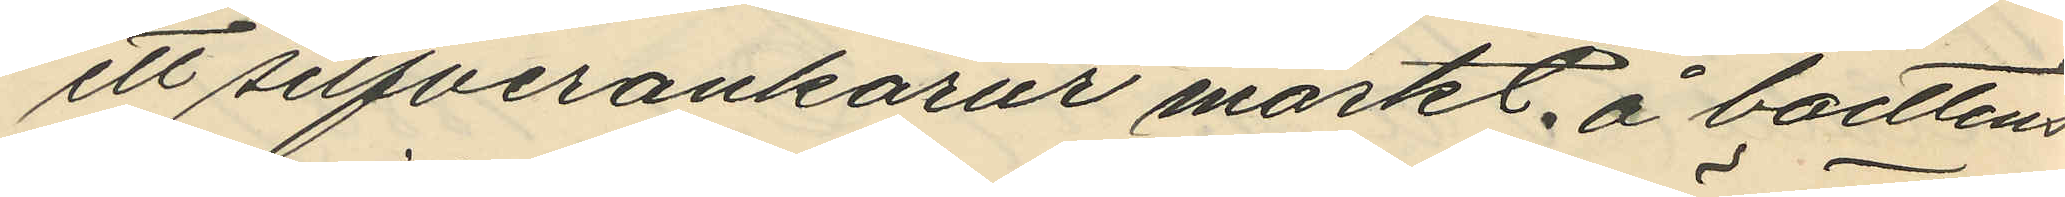ett silfverankarur märkt å boettens
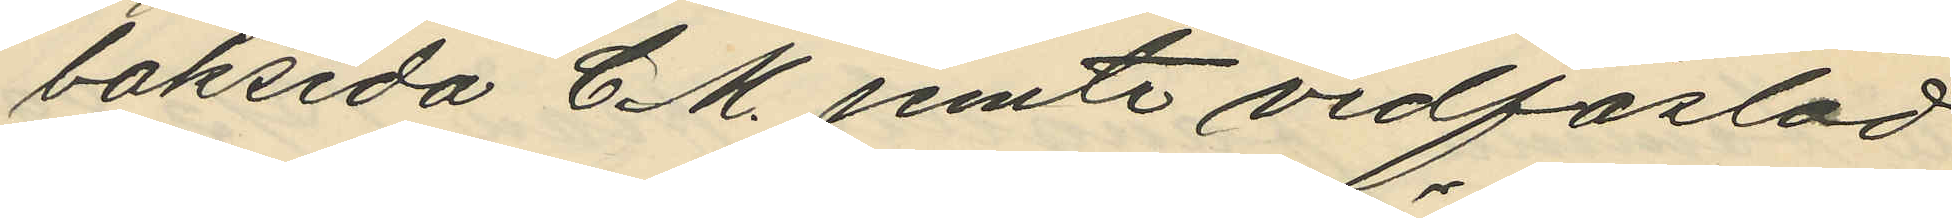baksida C M. jemte vidfästad
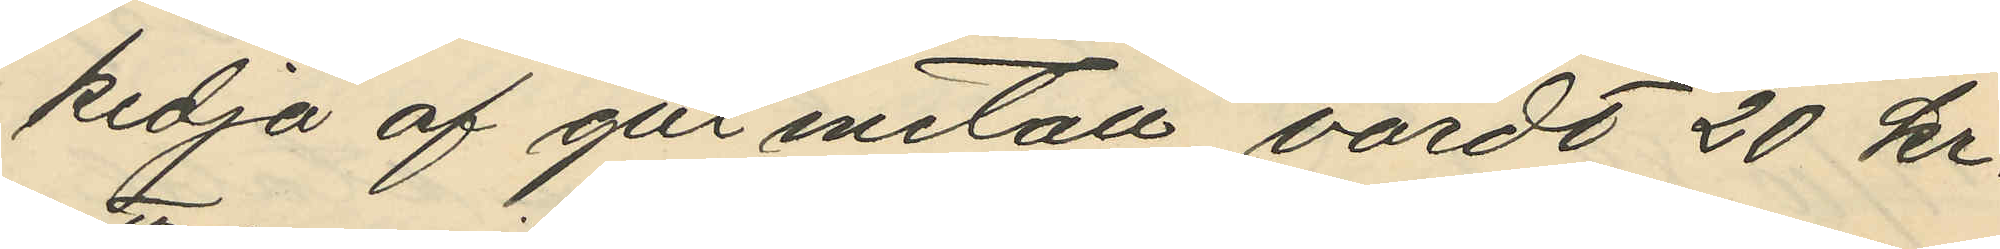kedja af gul metall, värdt 20 kr.
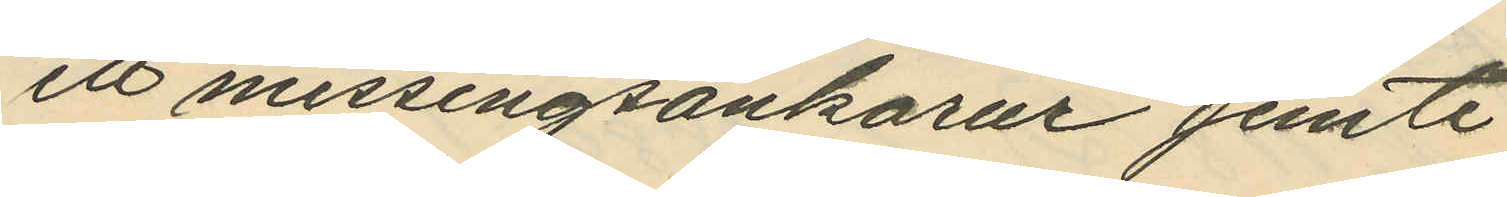ett messingsankarur jemte
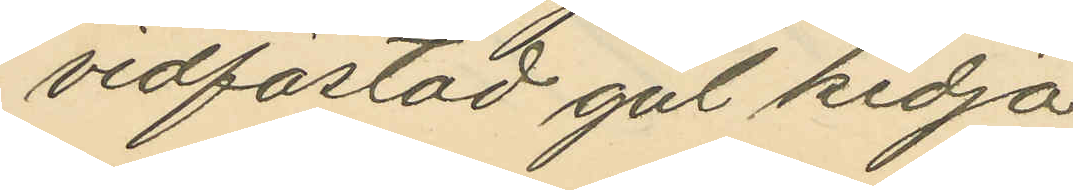vidfästad gul kedja
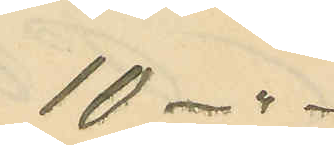10 - " -
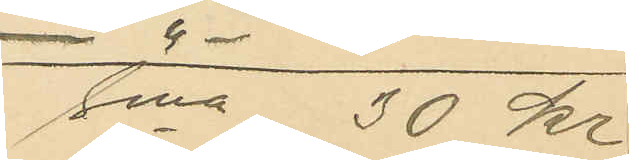Sma 30 kr.
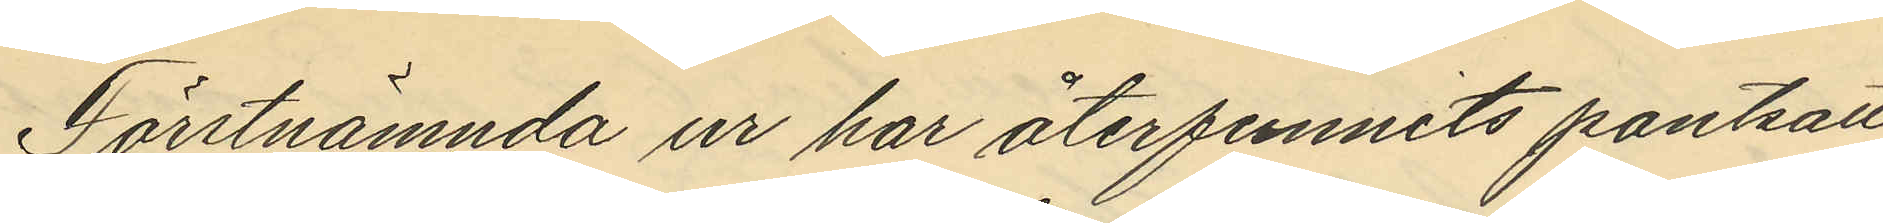Förstnämnda ur har återfunnits pantsatt
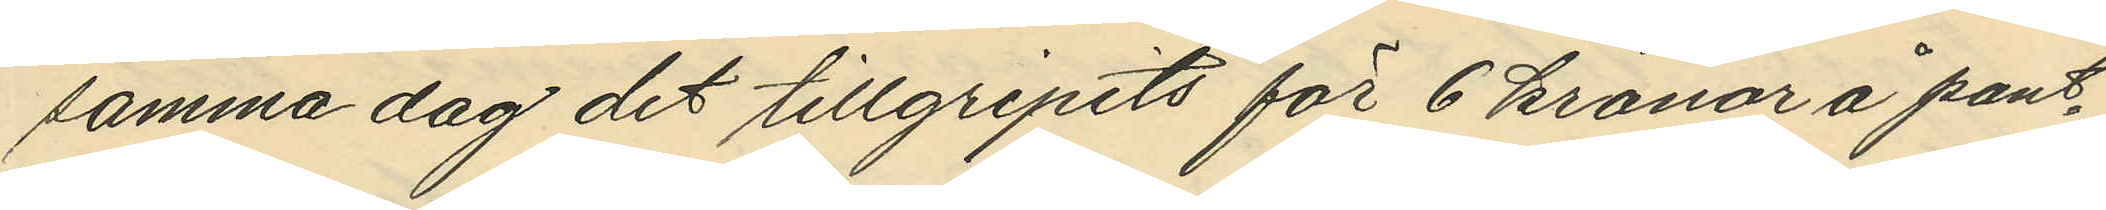samma dag det tillgripits för 6 kronor å pant¬
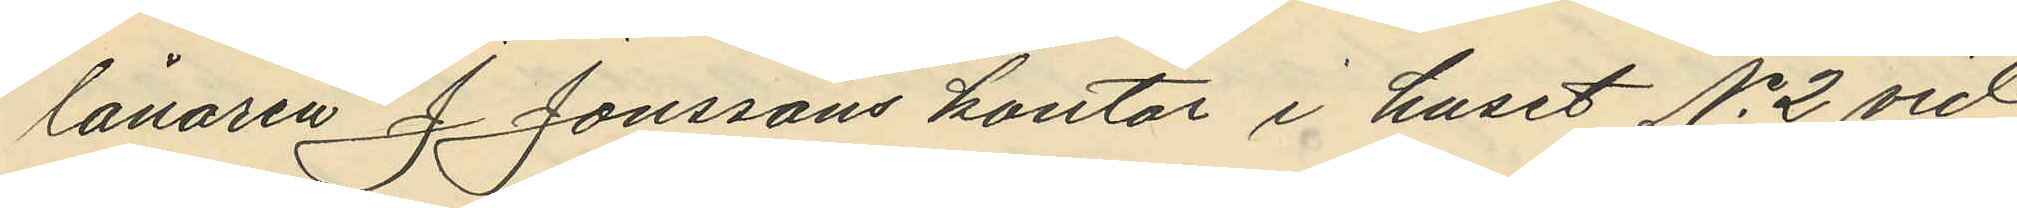lånaren J. Jonssons kontor i huset No 2 vid
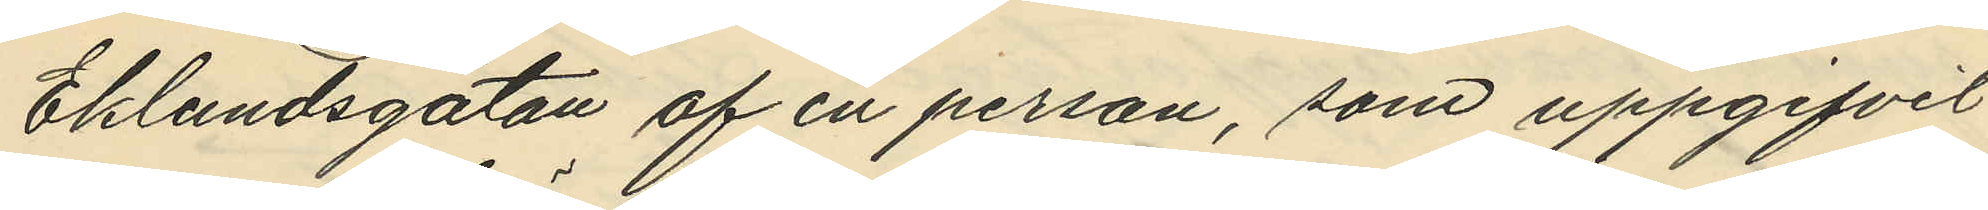Eklundsgatan af en person, som uppgifvit
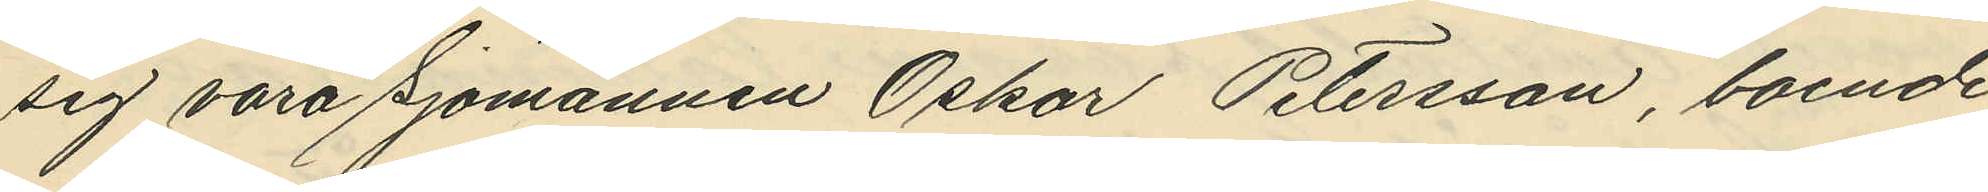sig vara Sjömannen Oskar Petersson, boende
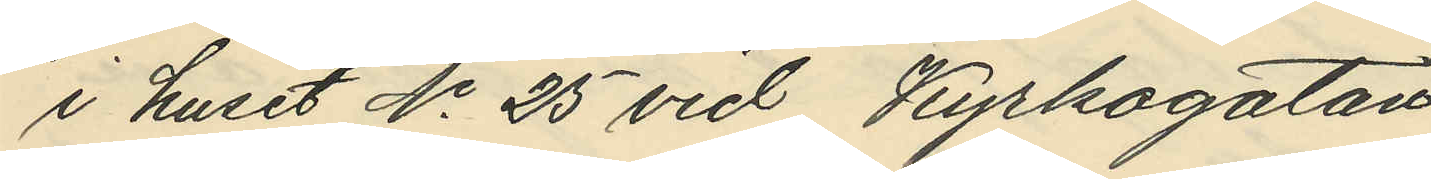i huset No 25 vid Kyrkogatan.
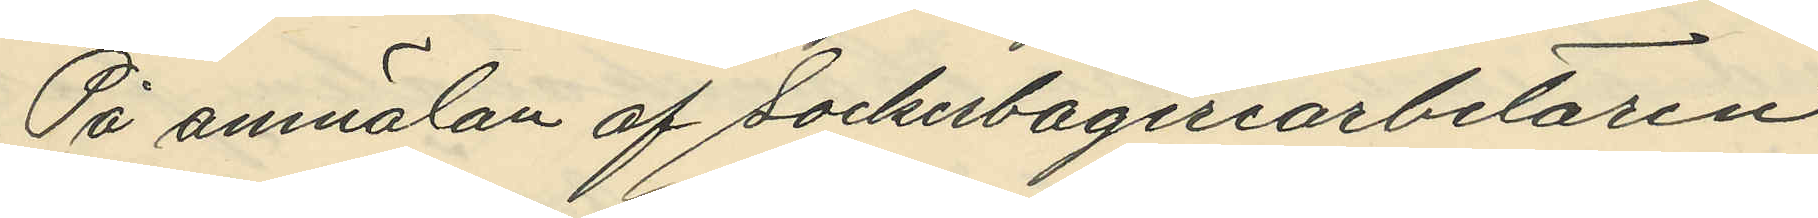På anmälan af Sockerbageriarbetaren
